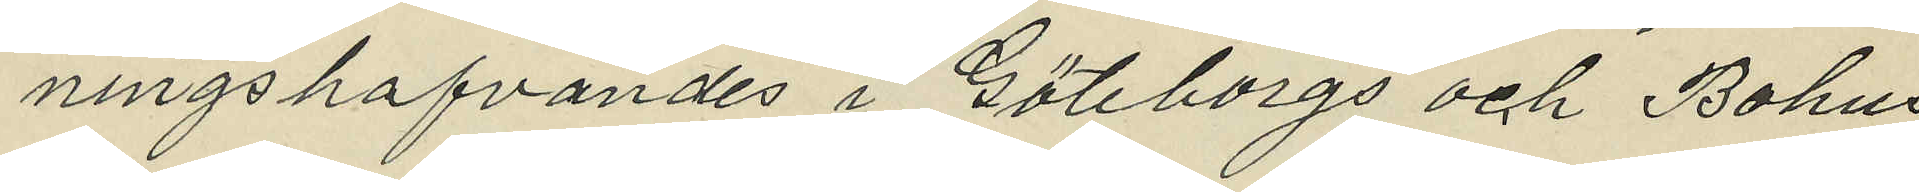ningshafvandes i Göteborgs och Bohus
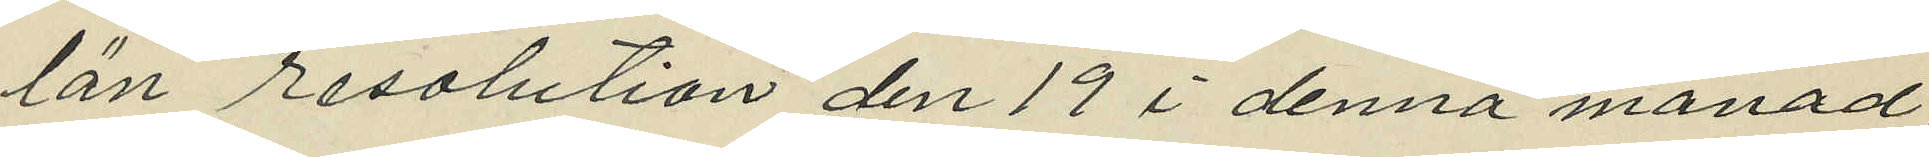län resolution den 19 i denna månad,
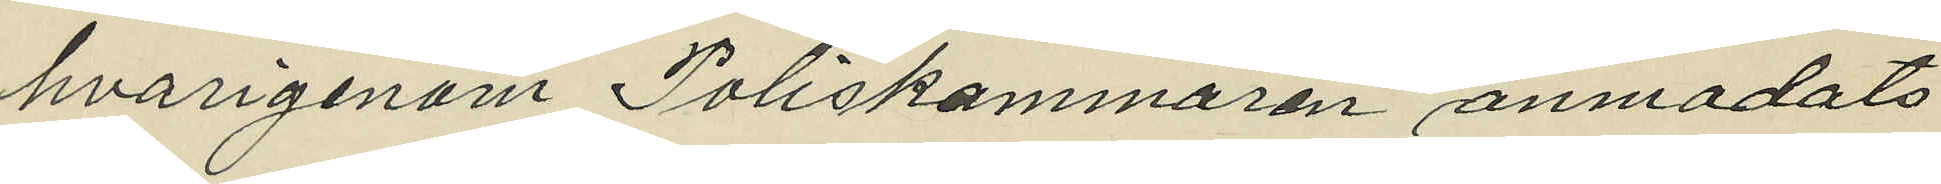hvarigenom Poliskammaren anmodats
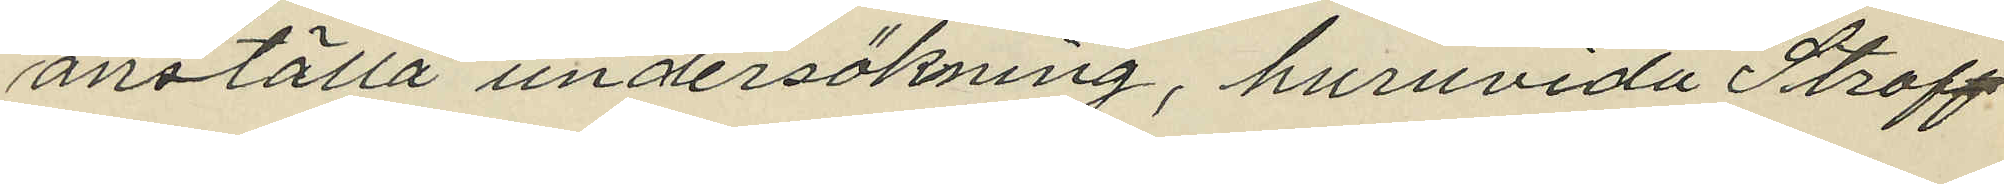anställa undersökning, huruvida Straff¬
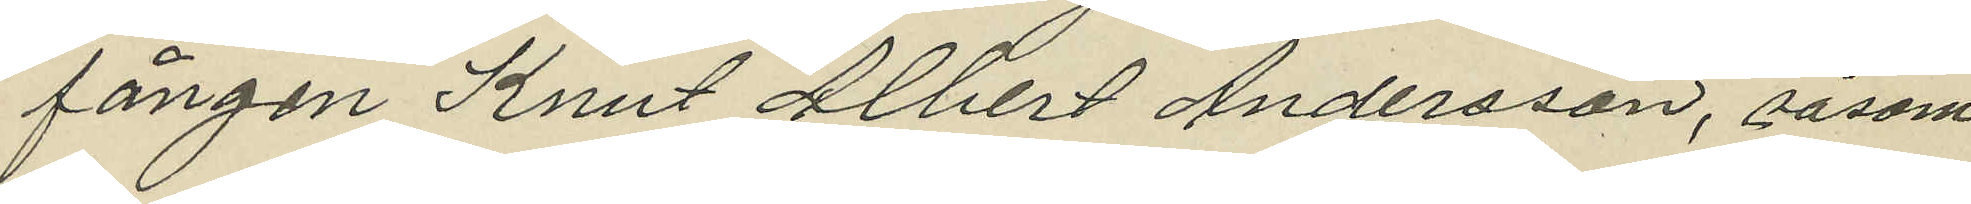fången Knut Albert Andersson, såsom
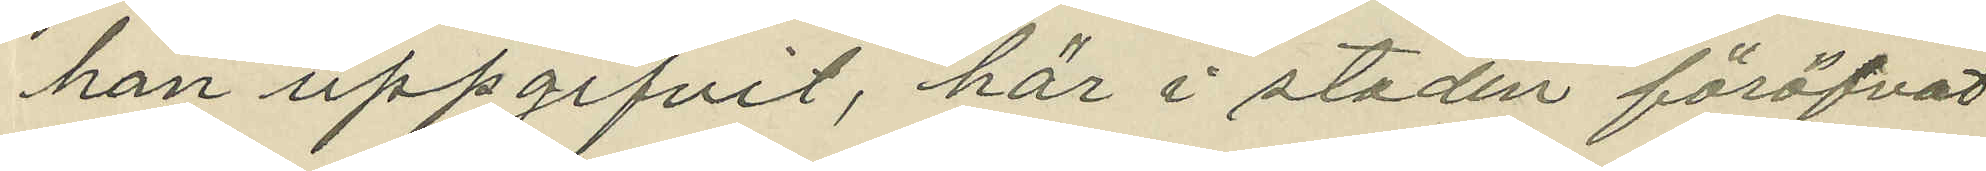han uppgifvit, här i staden föröfvat
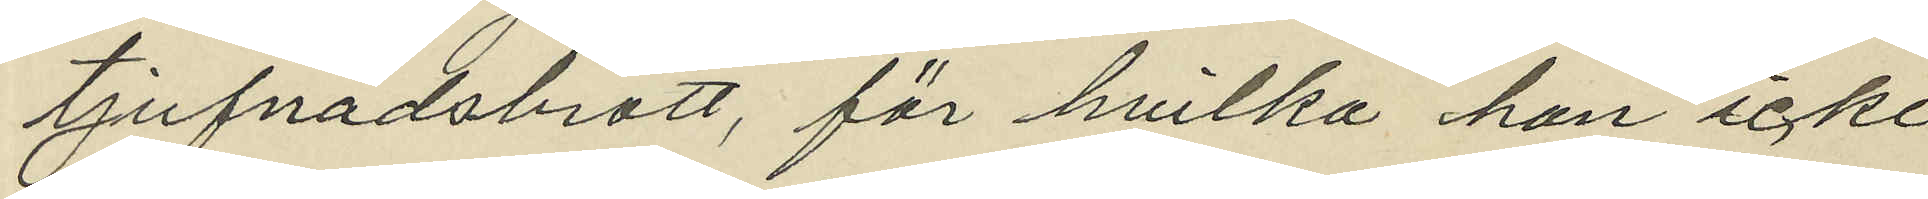tjufnadsbrott, för hvilka han icke
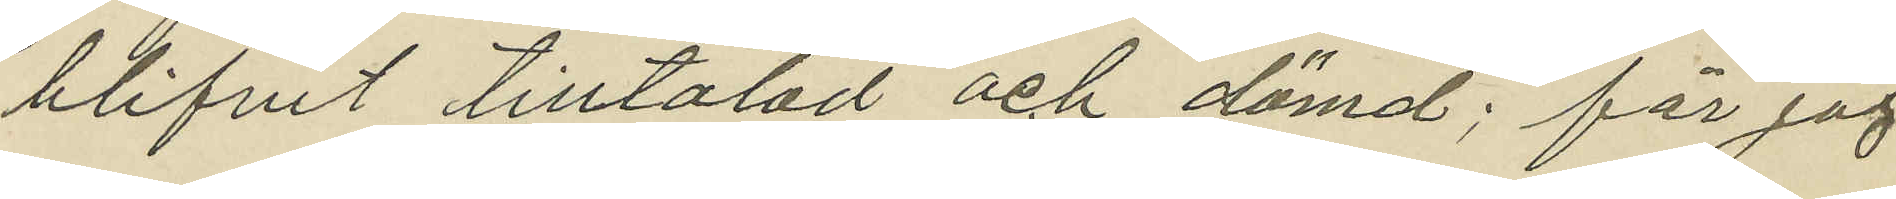blifvit tilltalad och dömd; får jag
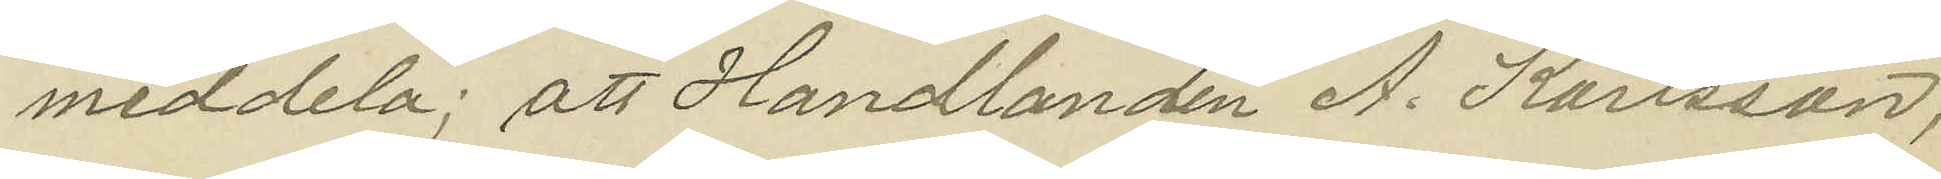meddela; att Handlanden A. Karlsson,
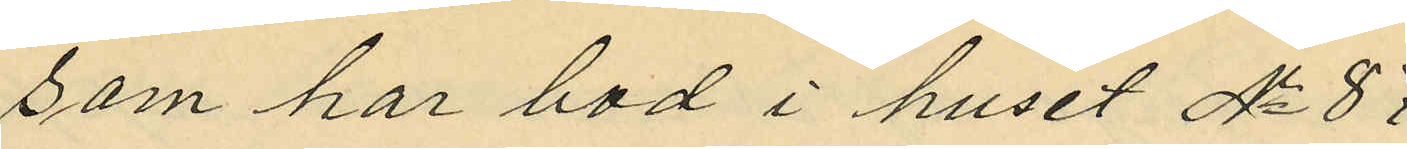som har bod i huset No 87
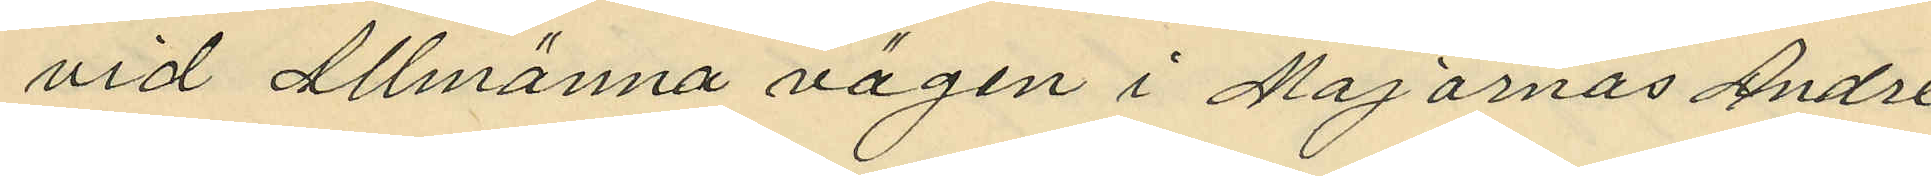vid Allmänna vägen i Majornas Andre
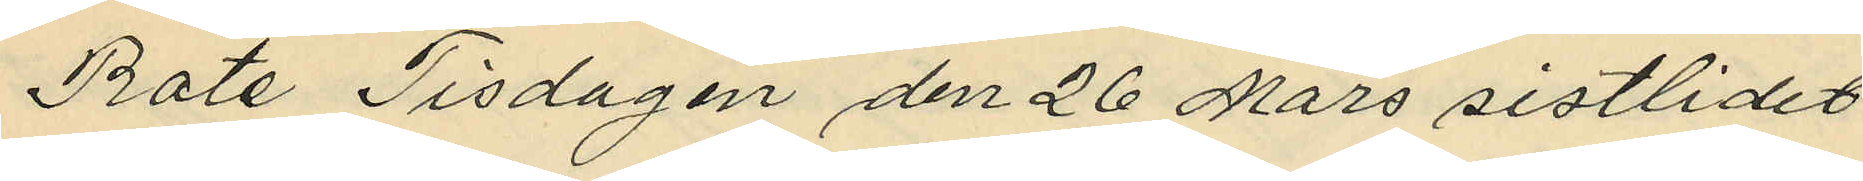Rote Tisdagen den 26 Mars sistlidet
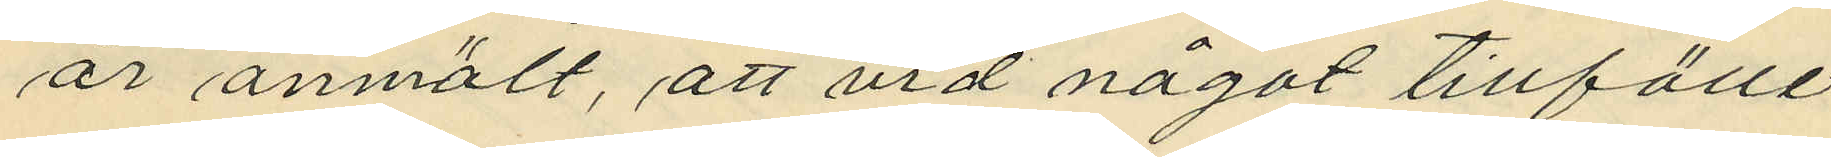år anmält, att vid något tillfälle
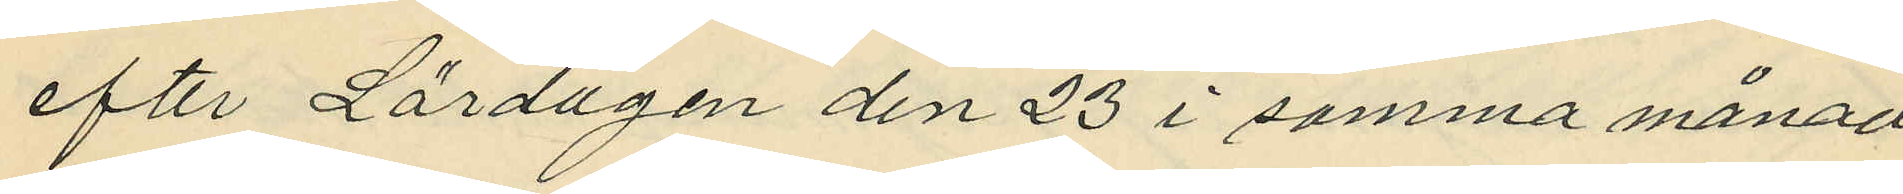efter Lördagen den 23 i samma månad
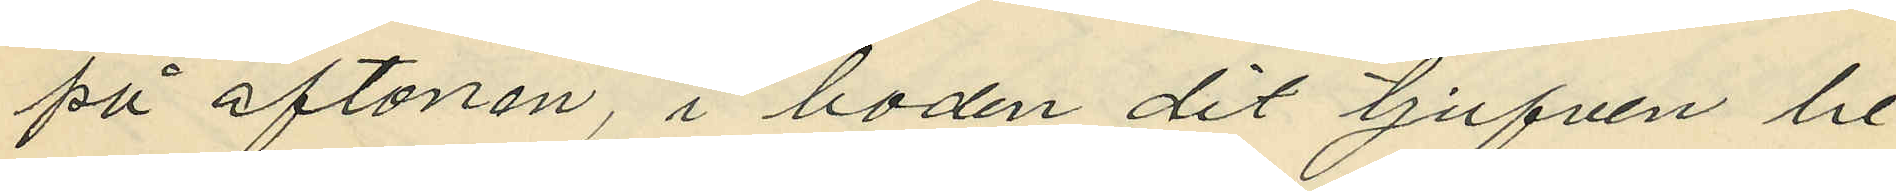på aftonen, i boden dit tjufven be¬
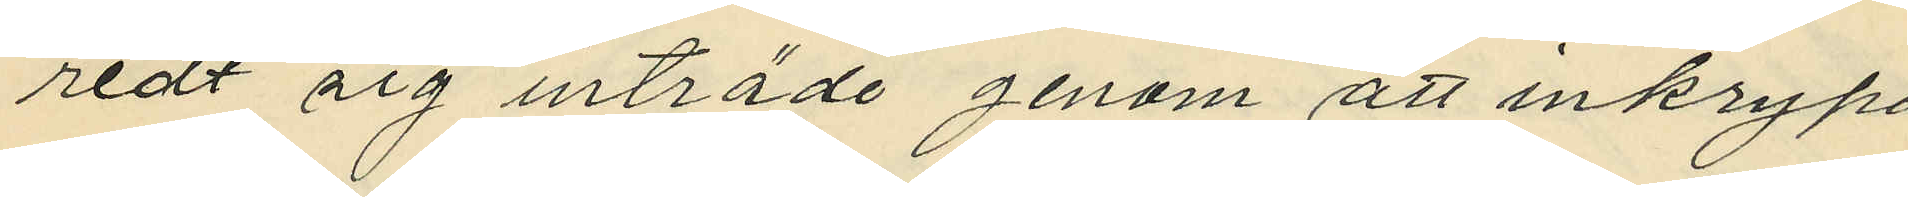redt sig inträde genom att inkrypa
